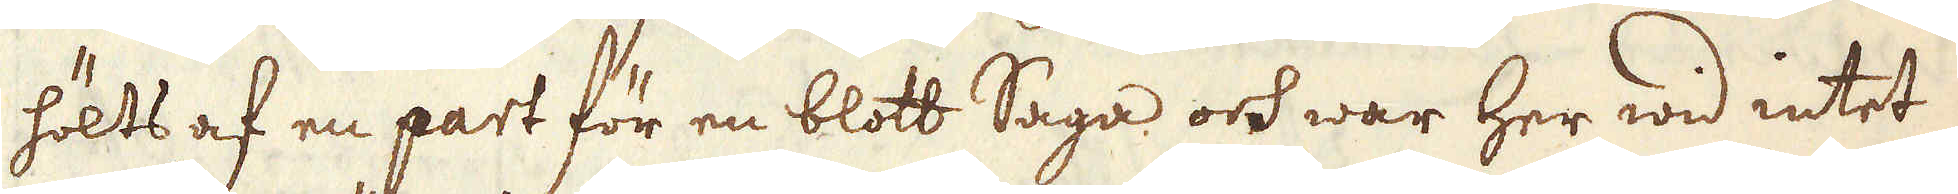hölts af en part för en blott Saga och war her wid intet
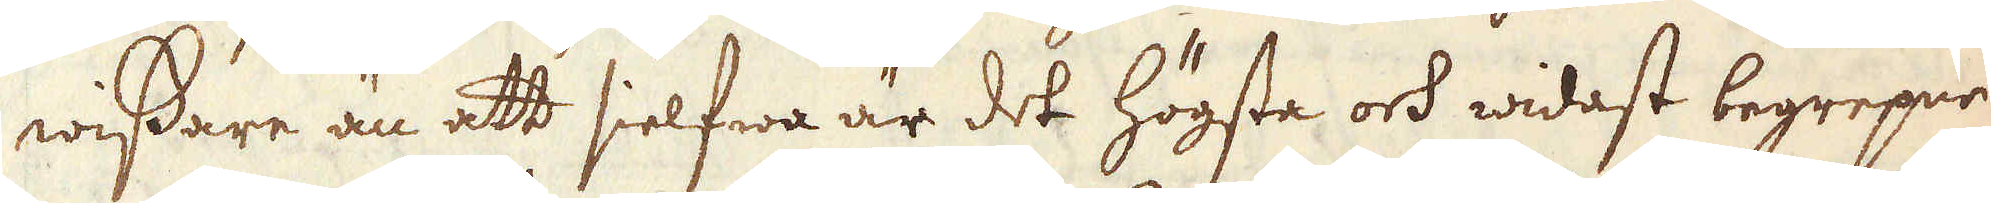wissare än att sielfwa är det högsta och widast begrepne
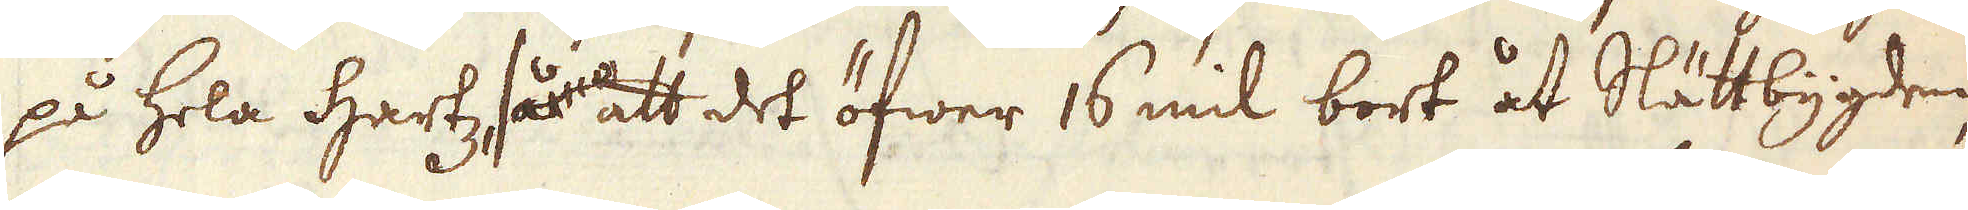på hela Hartz så att det öfwer 16 mil bort åt Slättbygden,
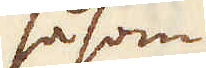såsom
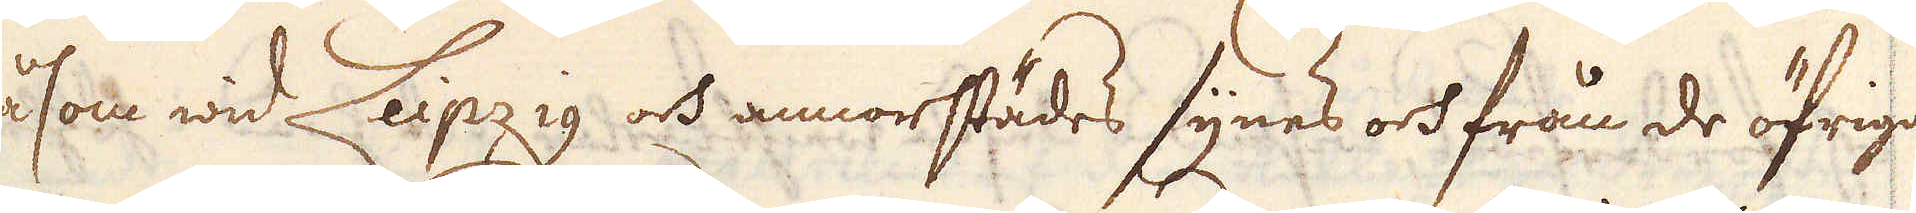såsom wid Leipzig och annorstädes synes och från de öfrige
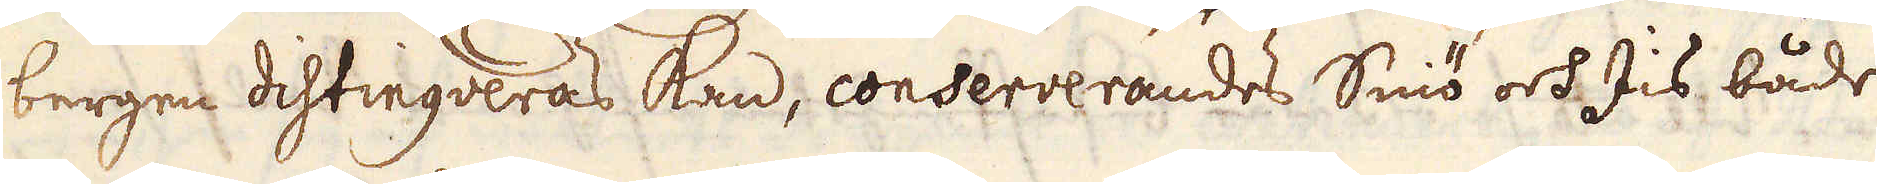bergen dihtingveras kan, conserverandes Sniö och Iis både
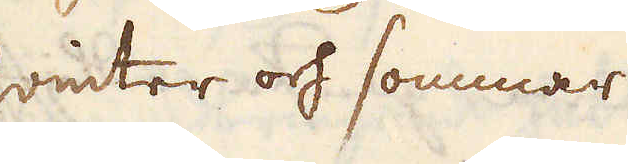winter och sommar.
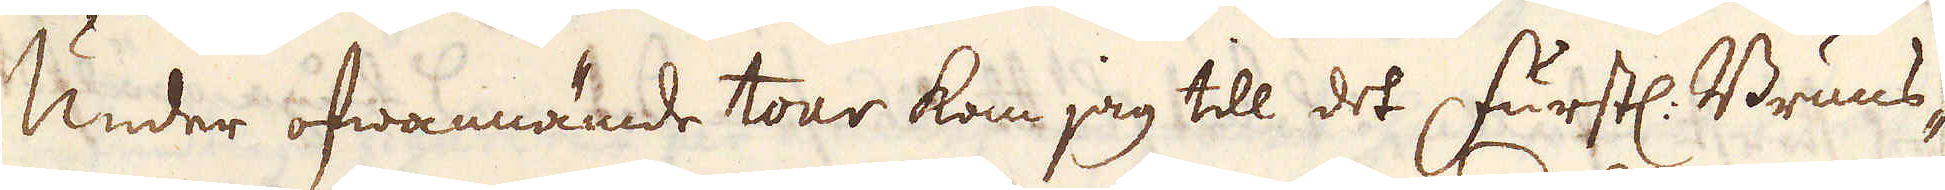Under ofwannämde tour kom jag till det furstl. Bruns-
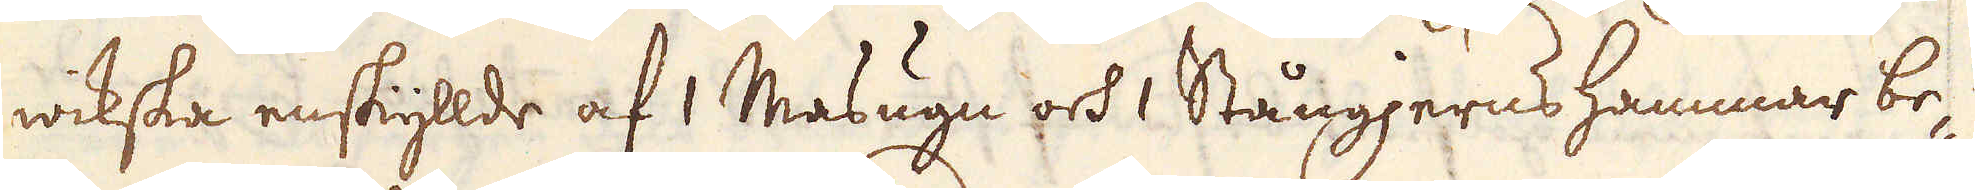wikska enskyllde af 1 Masugn och 1 Stångjerns hammar be-
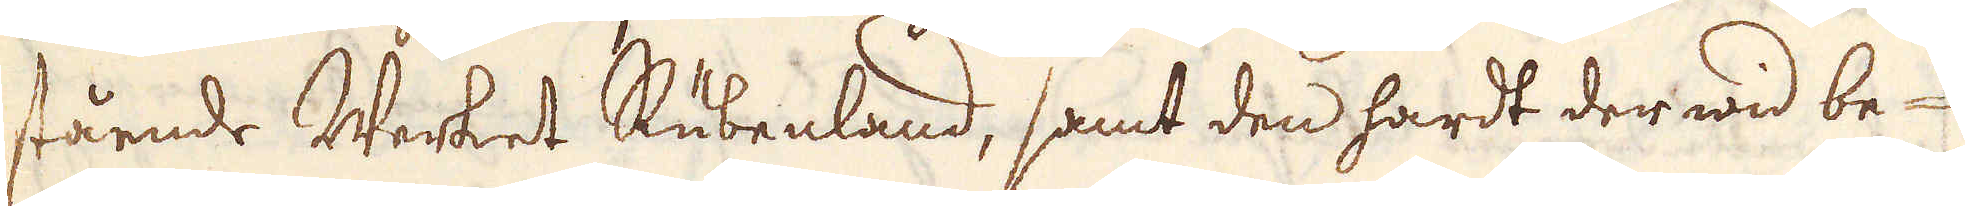stående Werket Rubenland, samt den hardt der wid be-
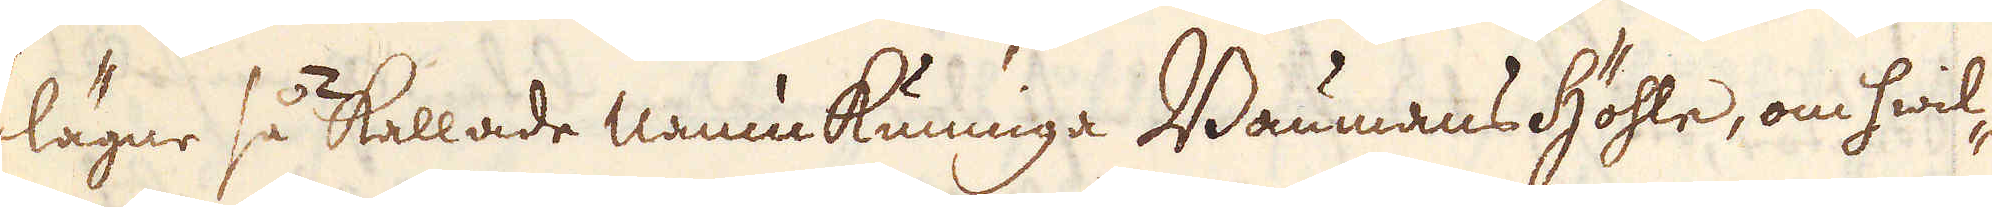lägne så kallade namnkunniga Baumans höhle, om hwil-
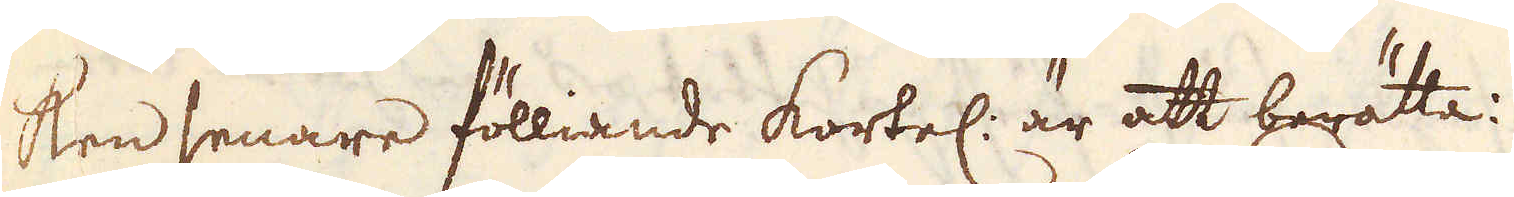ken senare fölliande kortel: är att berätta:
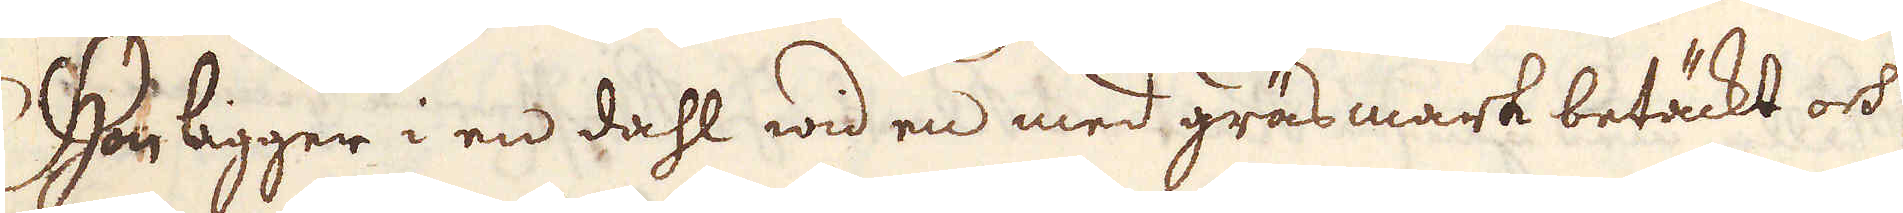Hon ligger i en dahl wid en med gräsmark betäckt och
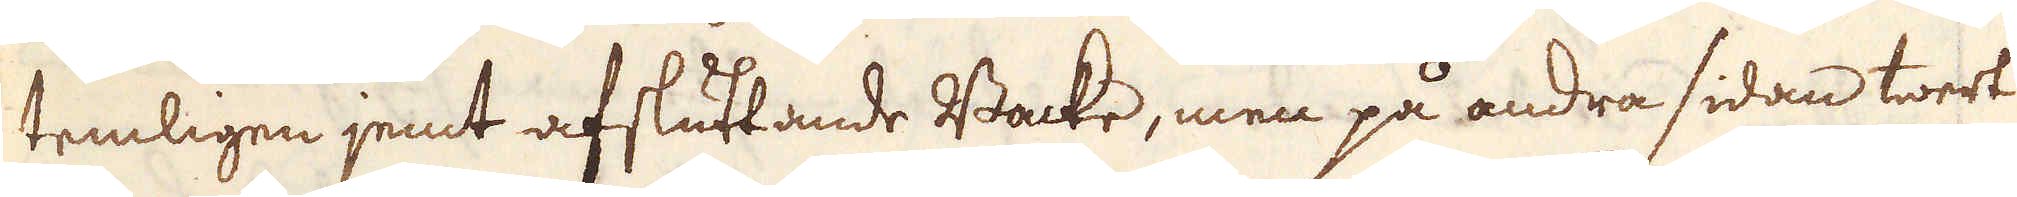temligen jemt afsluttande Backe, men på andra sidan twert
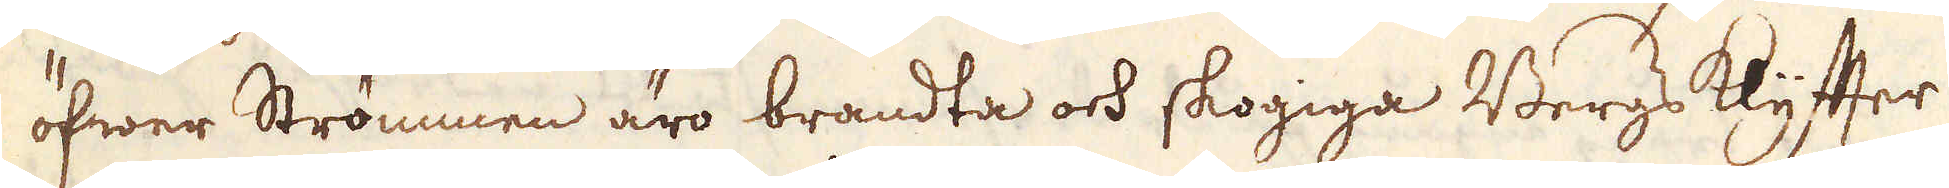öfwer Strömmen äro brandta och skogiga Bergs klyfter
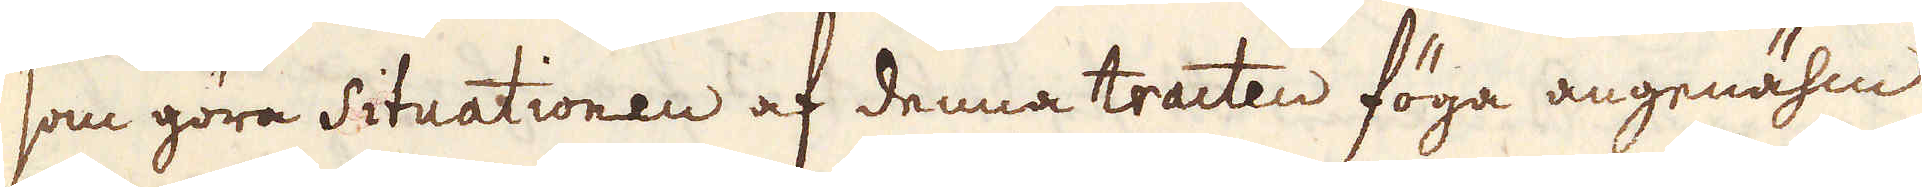som göra Situationen af denna tracten föga angenähm.
